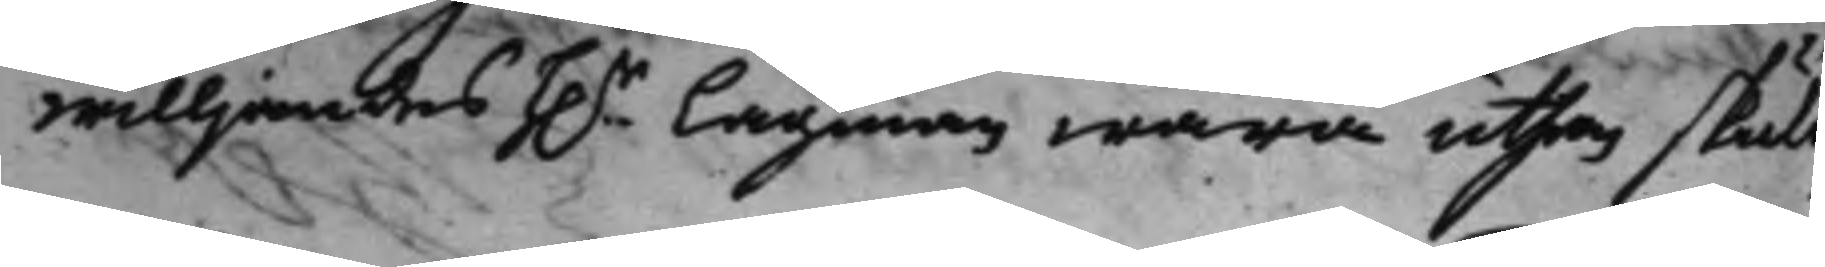willjandes h.r Lagman wara uthan skuld
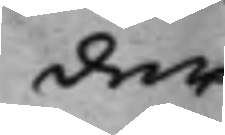der
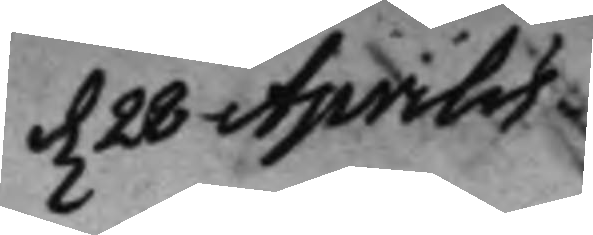d. 28 Aprilis
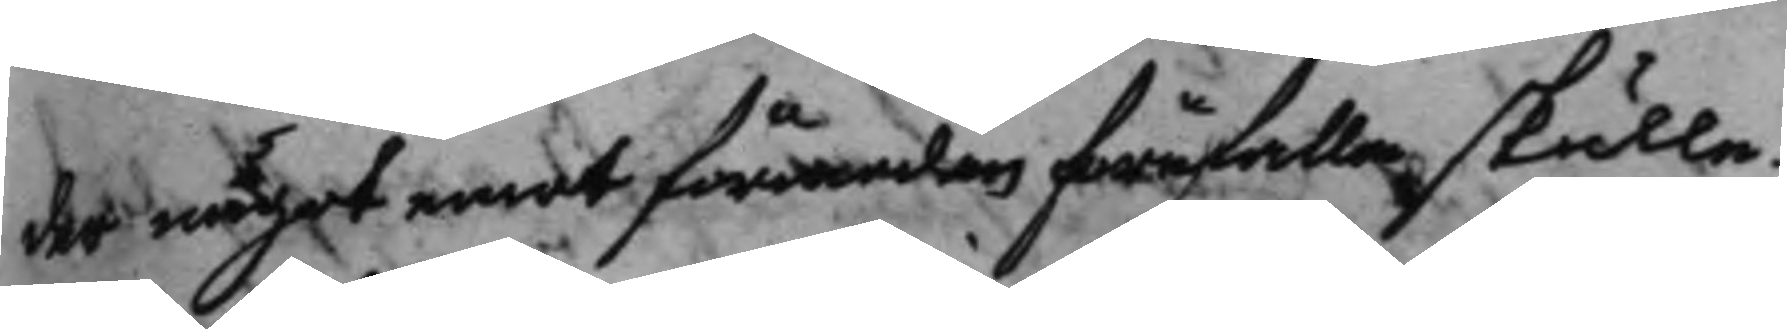der något emot förmodan förefalla skulle.
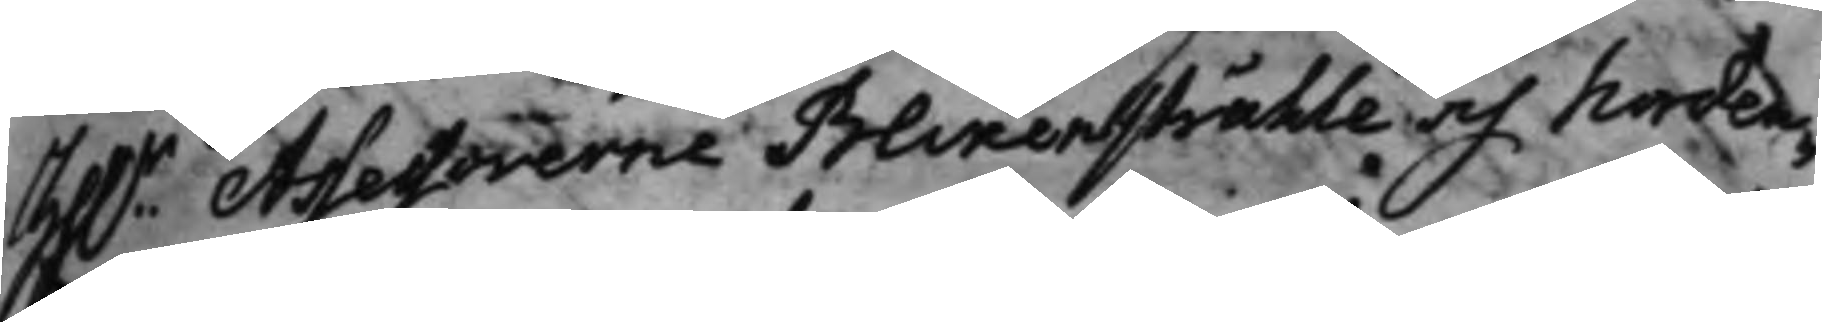Hh.r Assessorerne Blixenstråhle, och Norden¬
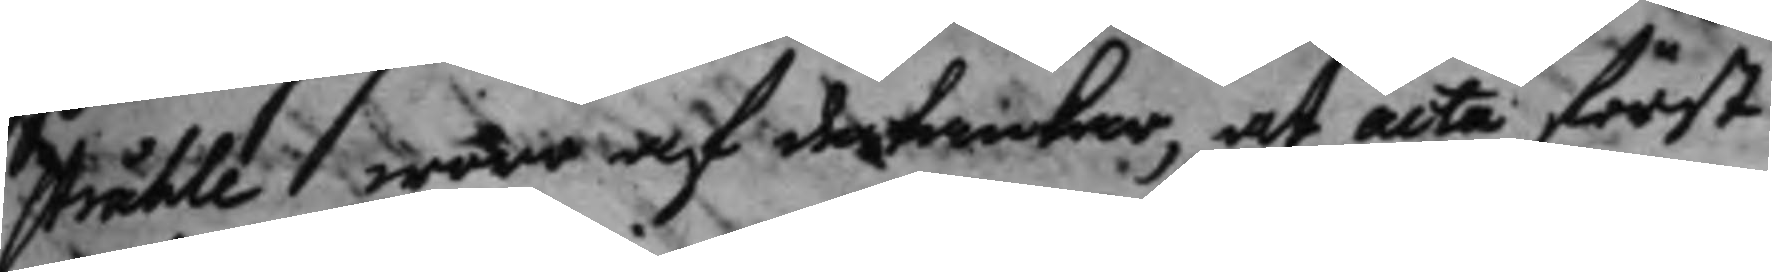stråhle woro af de tankar, at acta först
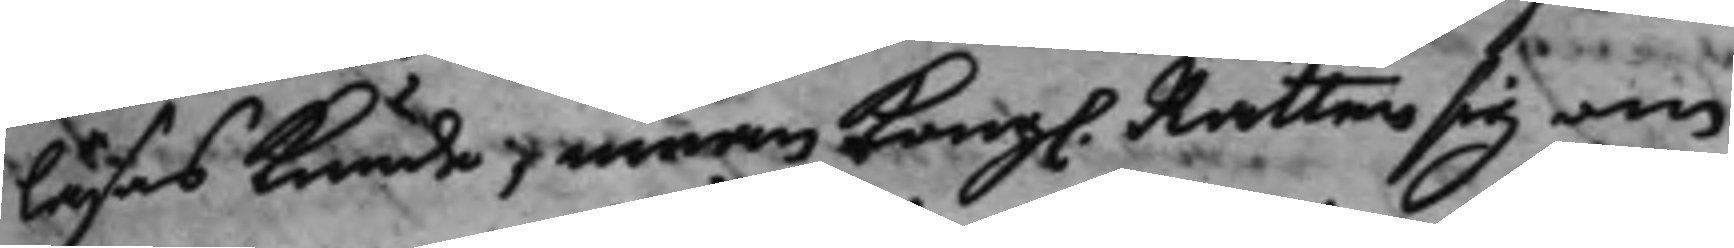läsas kunde, innan Kong. Rätten sig om
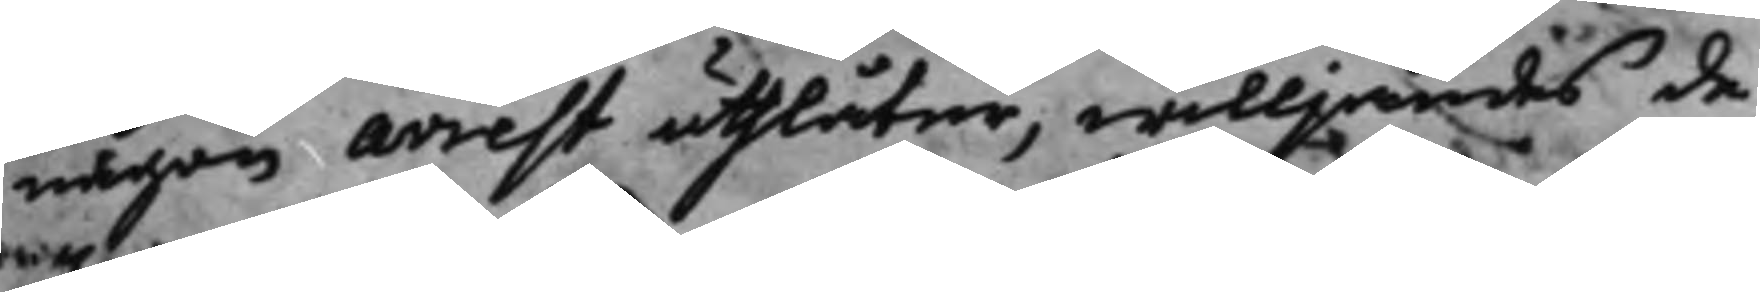någon arrest uthlåter, willjandes de
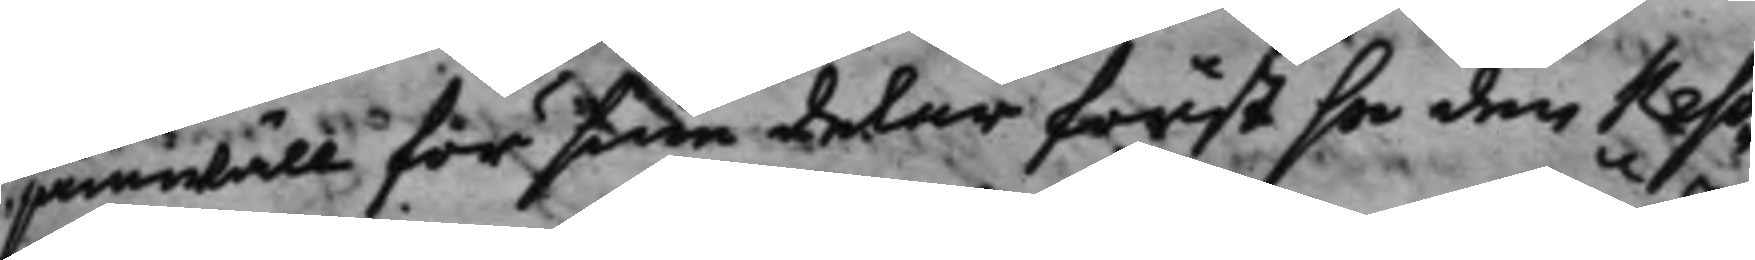jämwäll för sine delar först se den reso¬
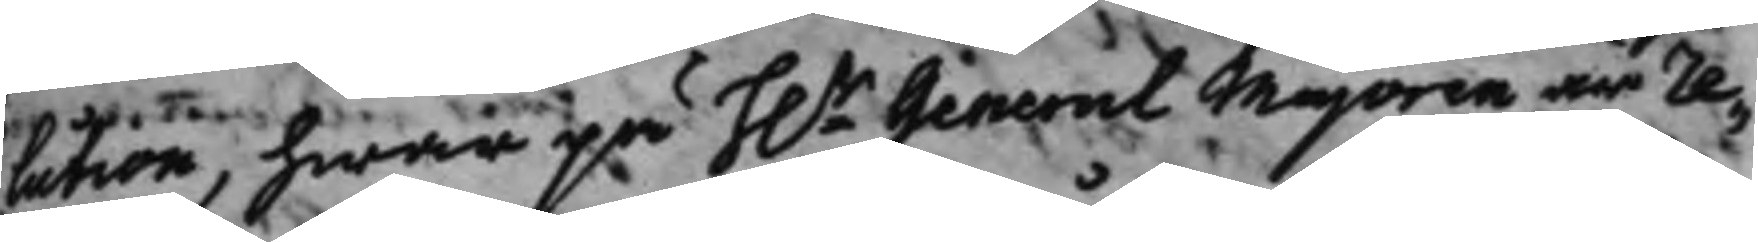lution, hwar på h.r General Majoren är re¬
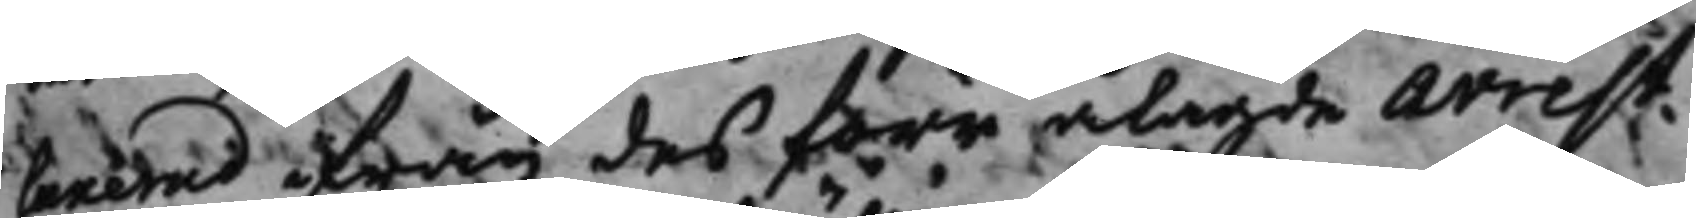laxerad ifrån des förr ålagde arrest,
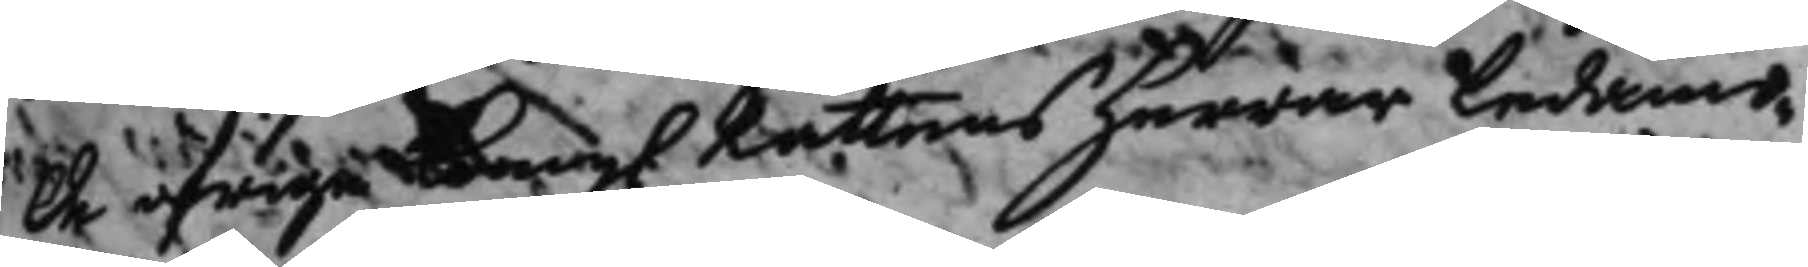De öfriga Kong. Rättens herrar ledamö¬
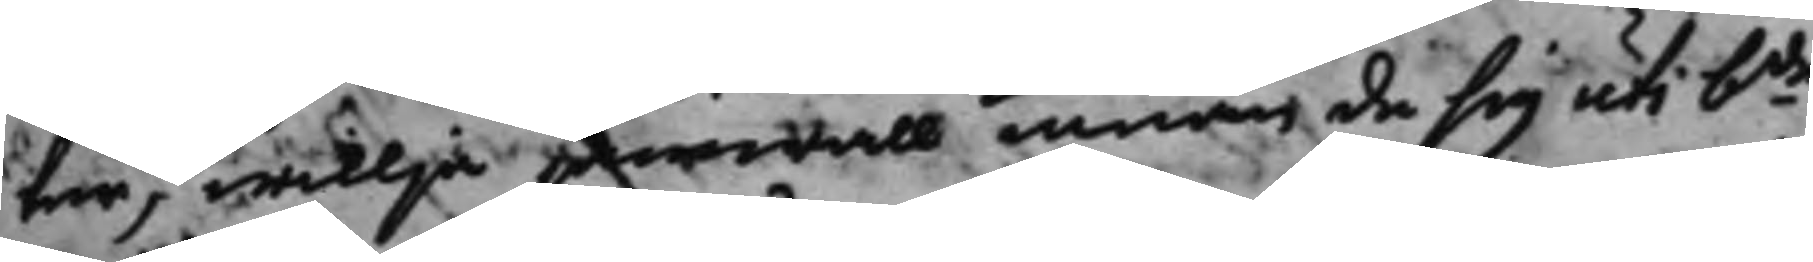ter, willja jämwäll innan de sig uti bde
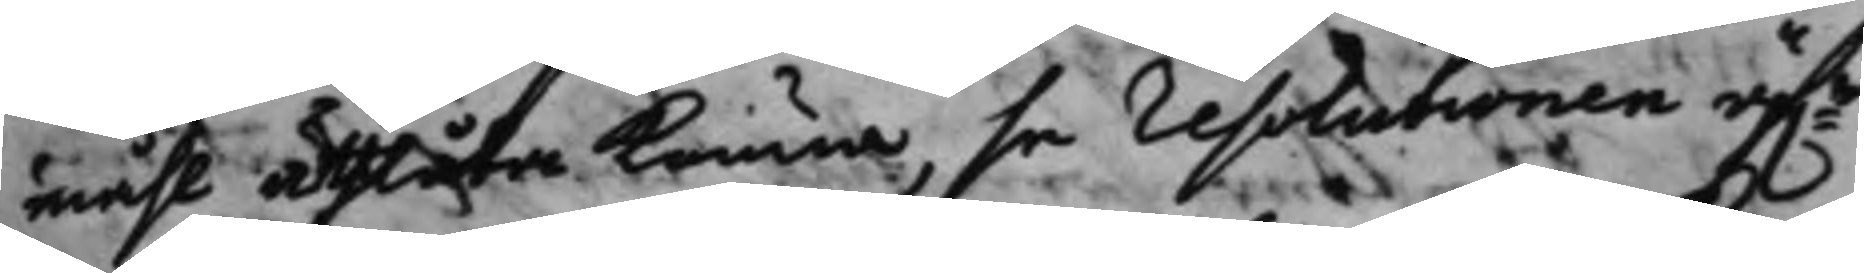måhl utlåta kunna, se resolutionen öfwr
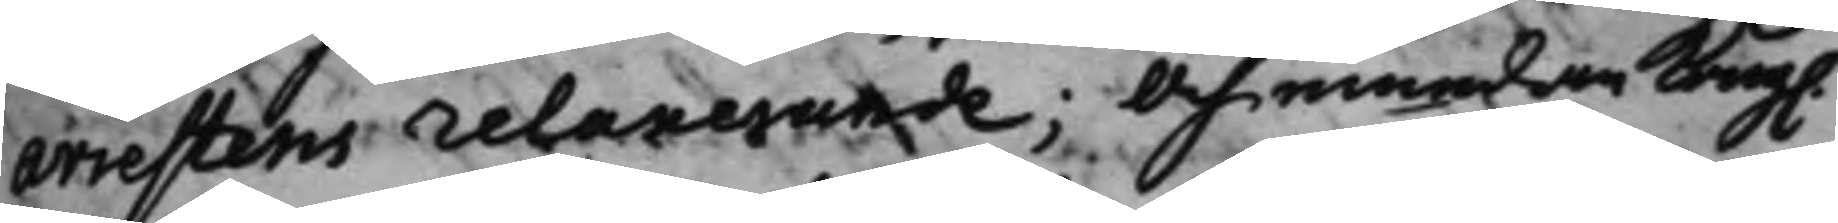arrestens relaxerande; Och emedan Kong.
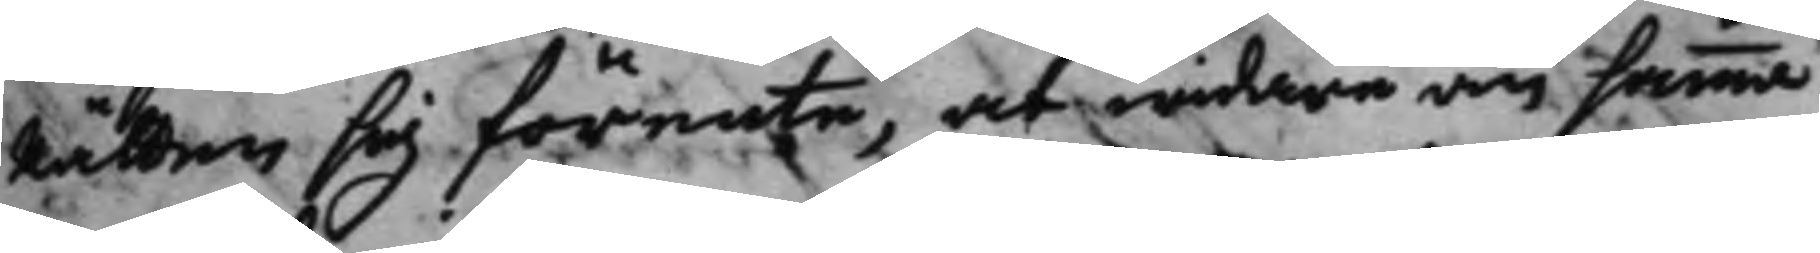Rätten sig förente, at widare om samma
